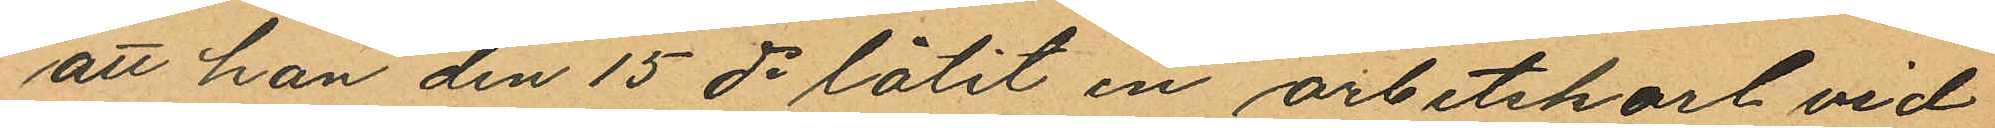att han den 15 ds låtit en arbetskarl vid
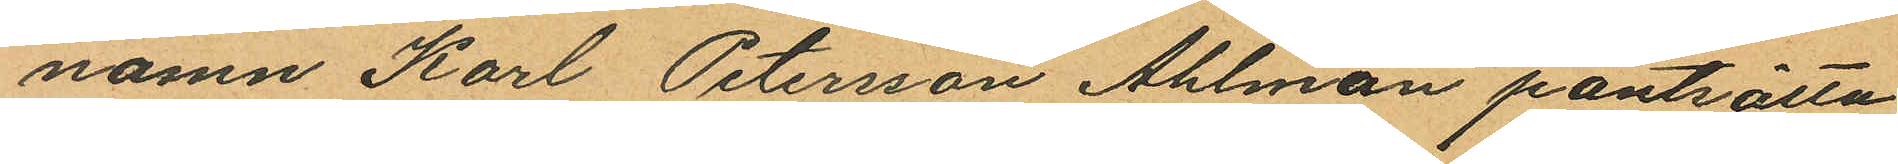namn Karl Petersson Ahlman pantsätta
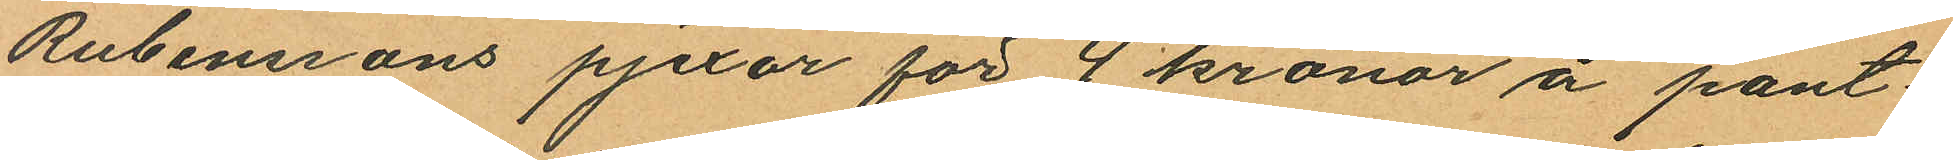Ruberssons pjexor för 4 kronor å pant¬
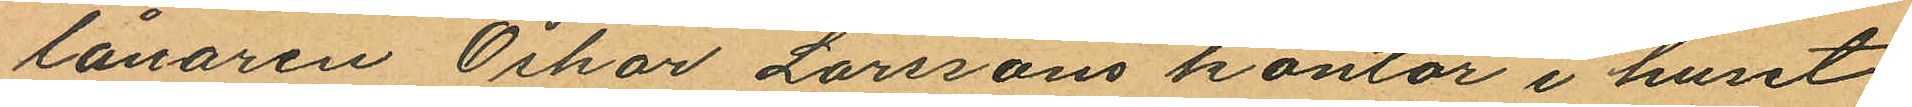lånaren Oskar Larssons kontor i huset
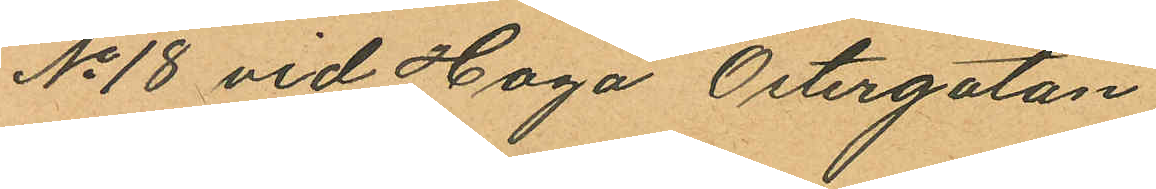No 18 vid Haga Östergatan;
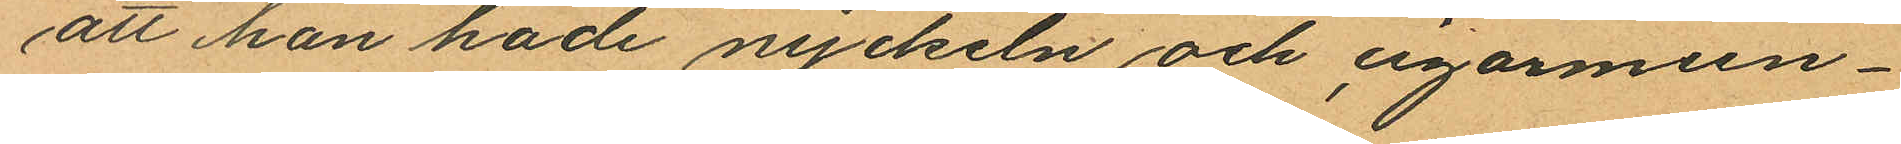att han hade nyckeln och cigarmun¬
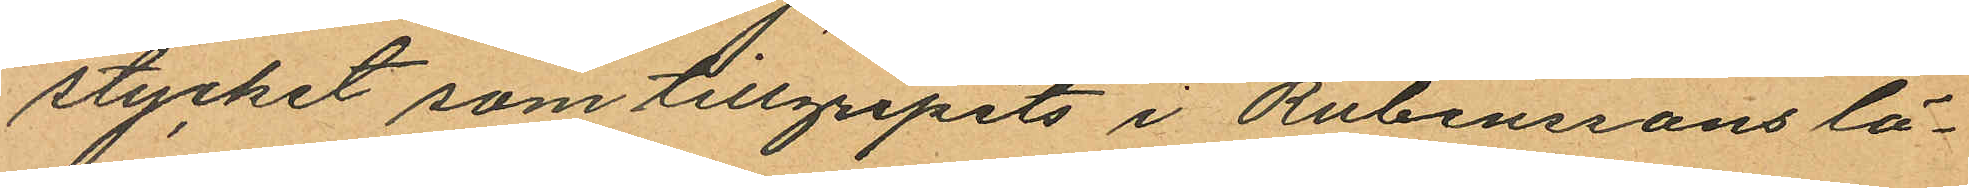stycket som tillgripits i Rubenssons lä¬
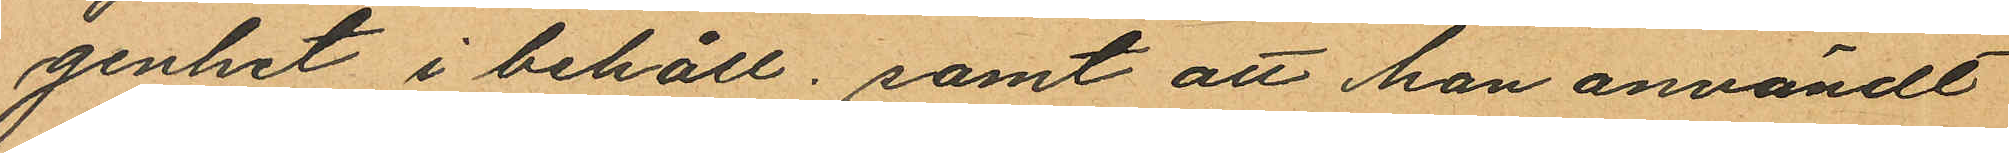genhet i behåll; samt att han användt
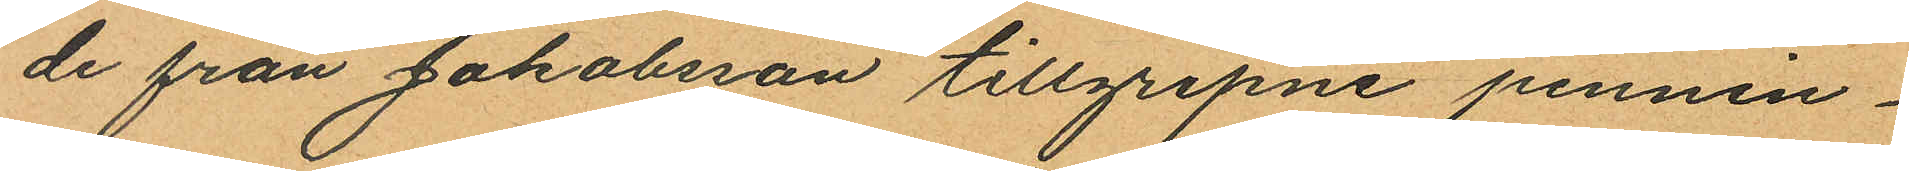de från Jakobsson tillgripne pennin¬
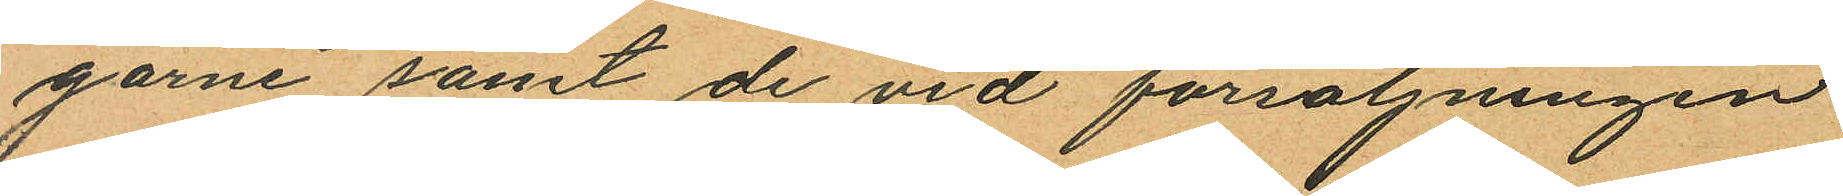garne samt de vid försäljningen
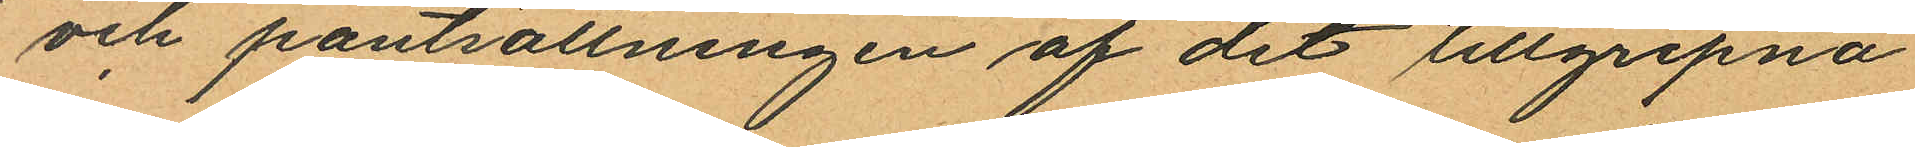och pantsättningen af det tillgripna
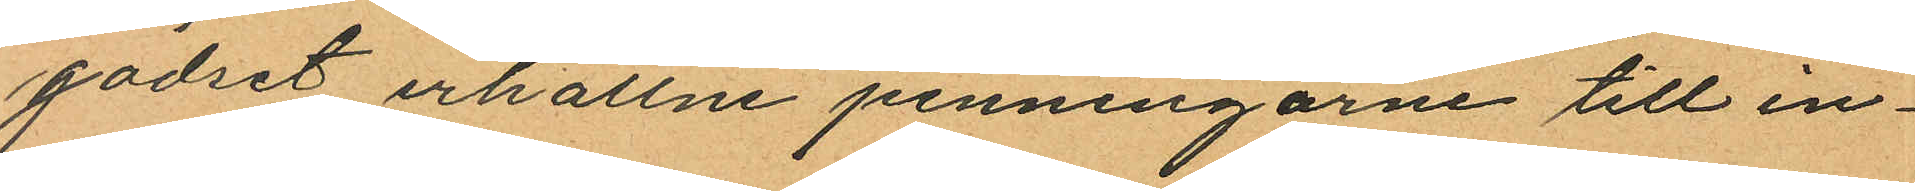godset erhållne penningarne till in¬
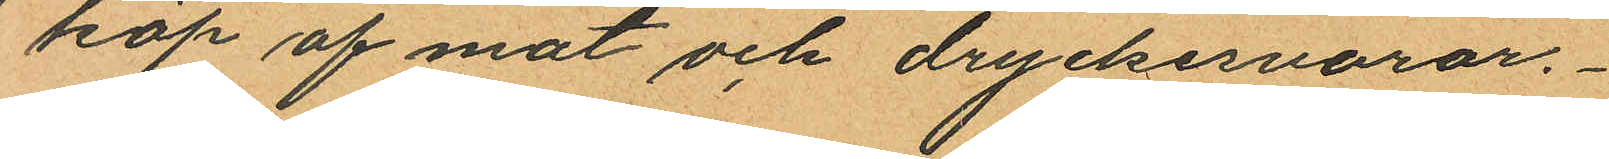köp af mat och dryckervaror.
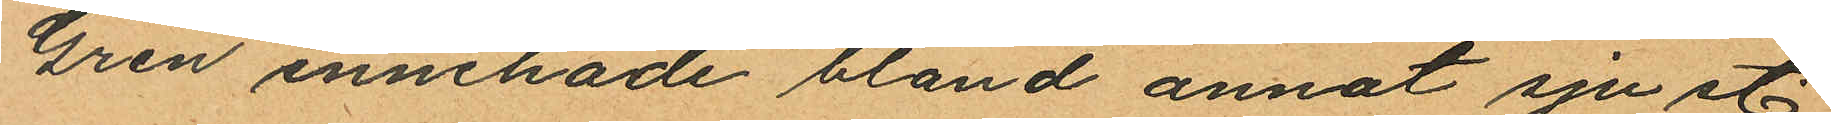Gren innehade bland annat sju st.
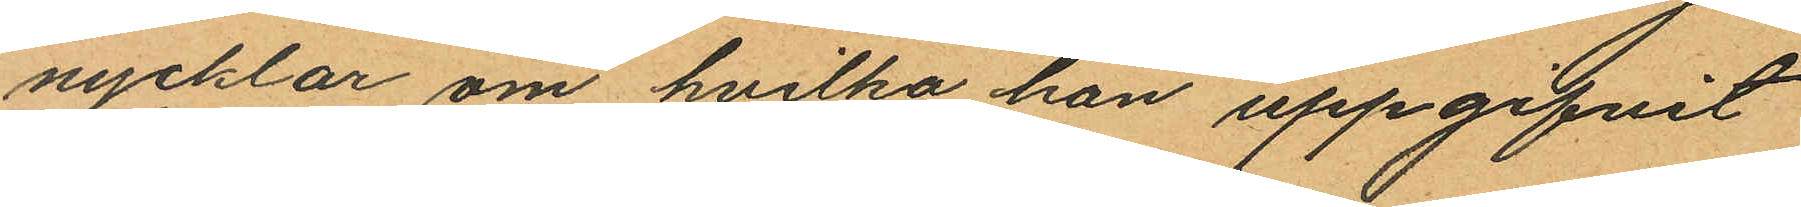nycklar om hvilka han uppgifvit
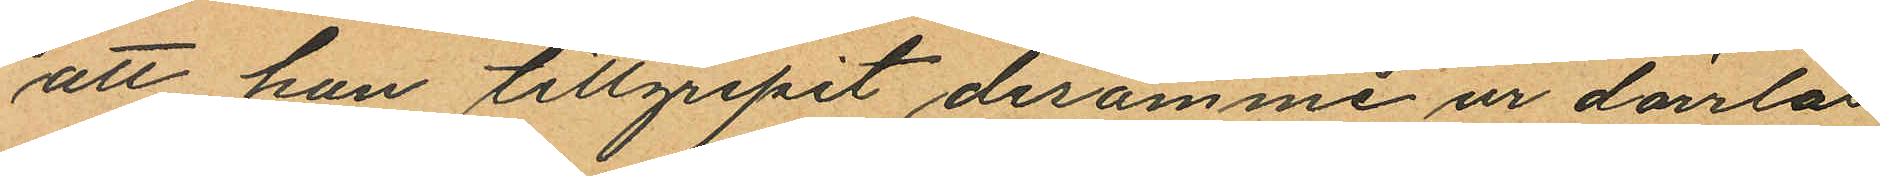att han tillgripit desamme ur dörrlås
